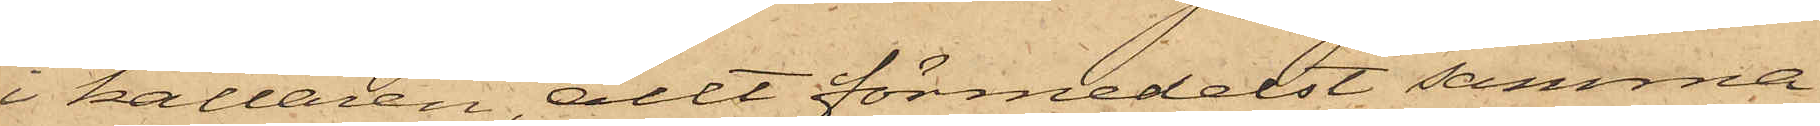i källaren, allt förmedelst samma
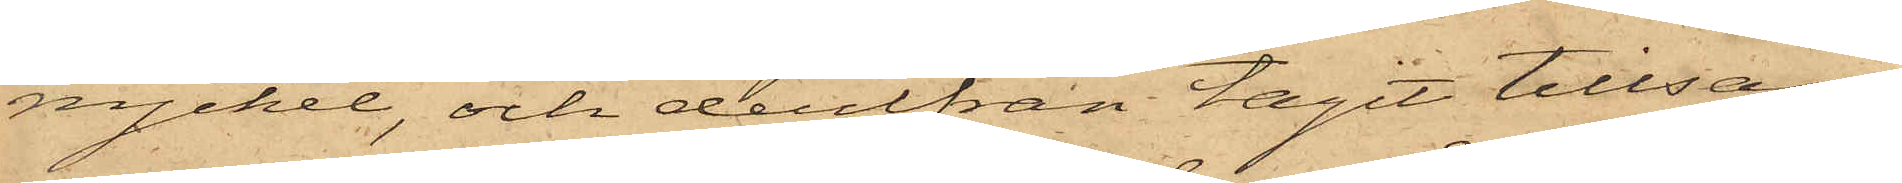nyckel, och derifrån tagit tillsam¬
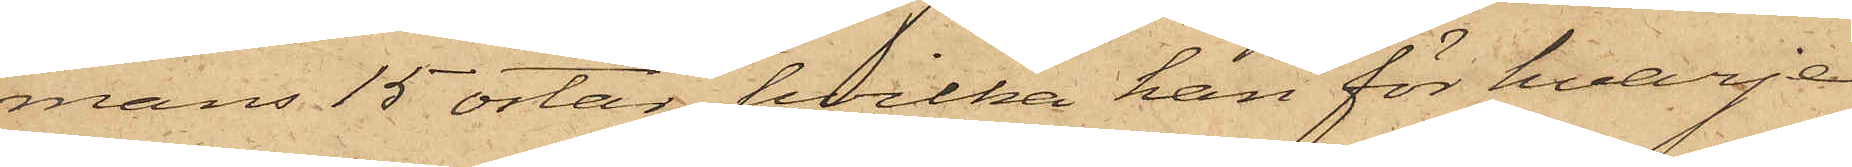mans 15 ostar, hvilka han för hvarje
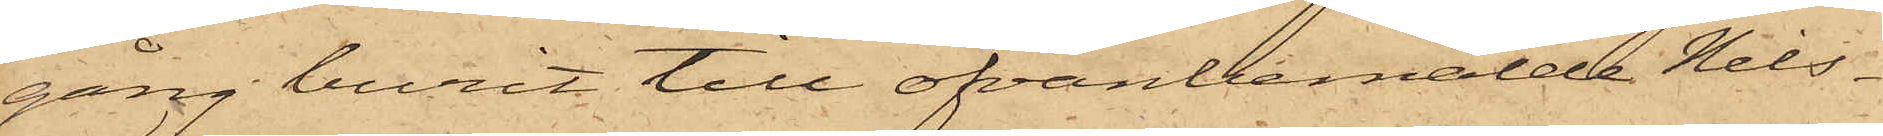gång burit till ofvanbemälde Nils¬
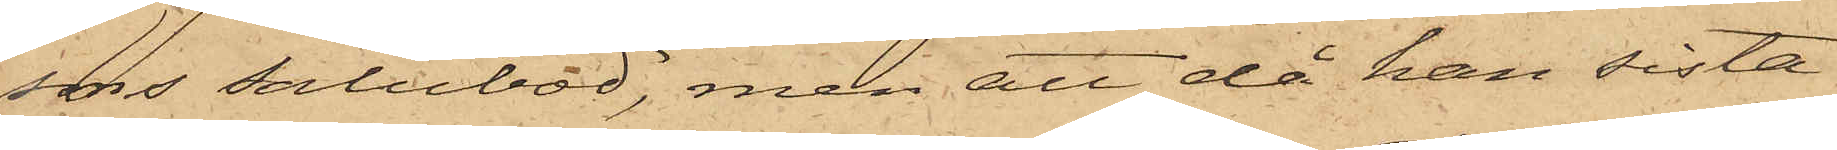sons salubod, men att då han sista
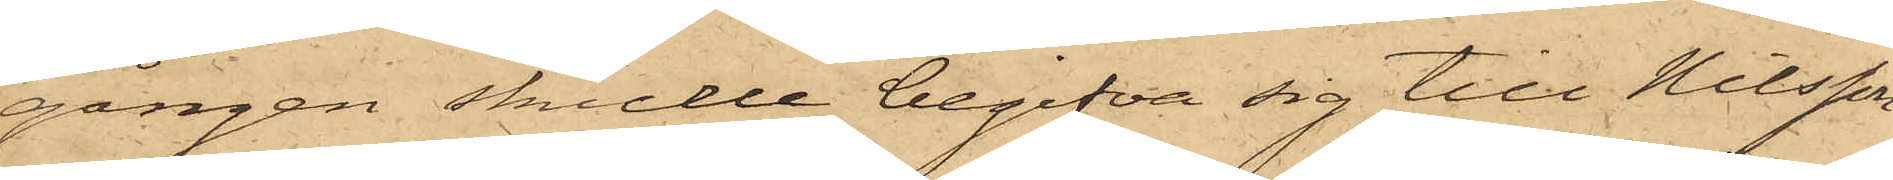gången skulle begifva sig till Nilsson
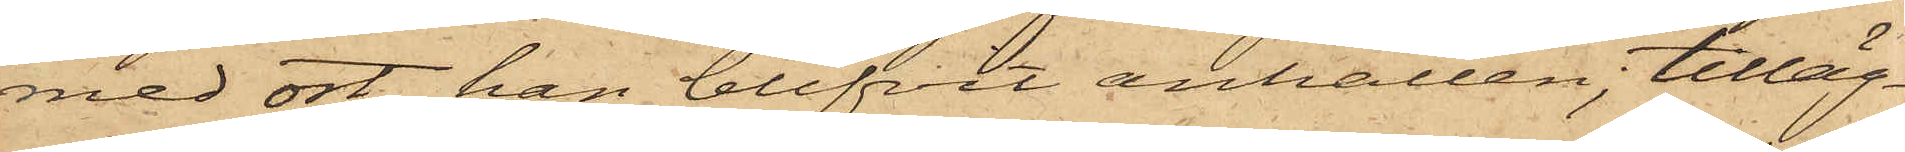med ost, han blifvit anhållen, tilläg¬
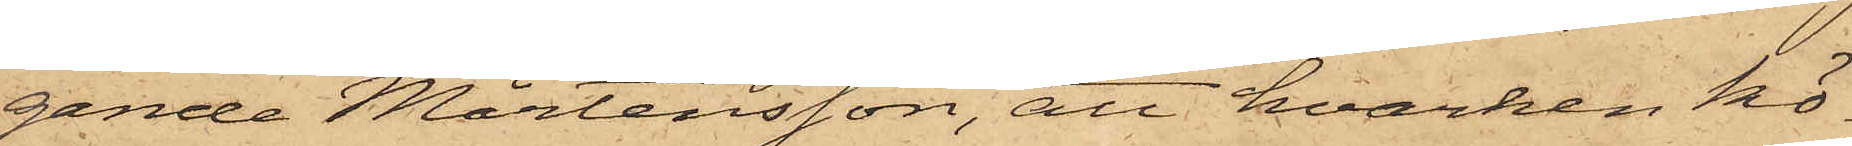gande Mårtensson, att hvarken kö¬
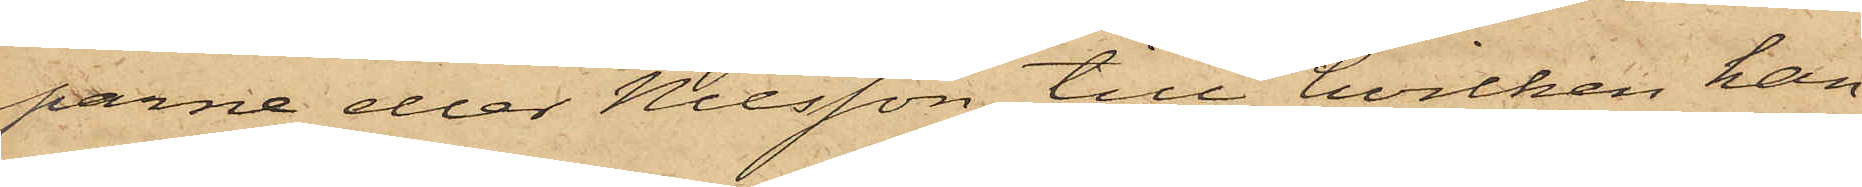parne eller Nilsson, till hvilken han
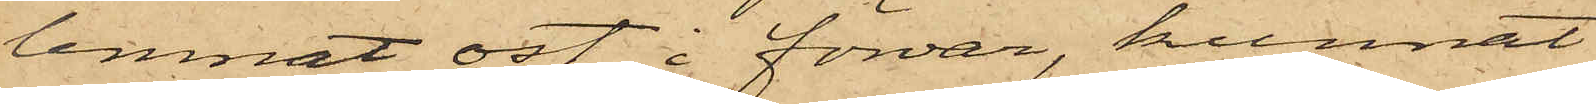lemnat ost i förvar, kunnat
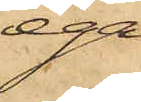ega
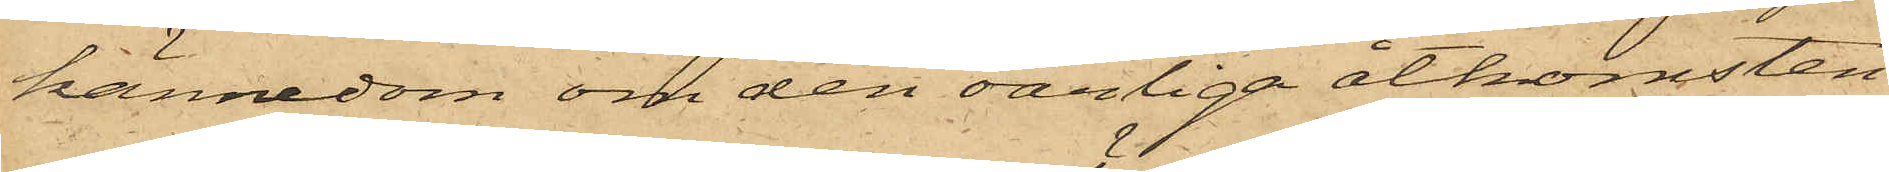kännedom om den oärliga åtkomsten
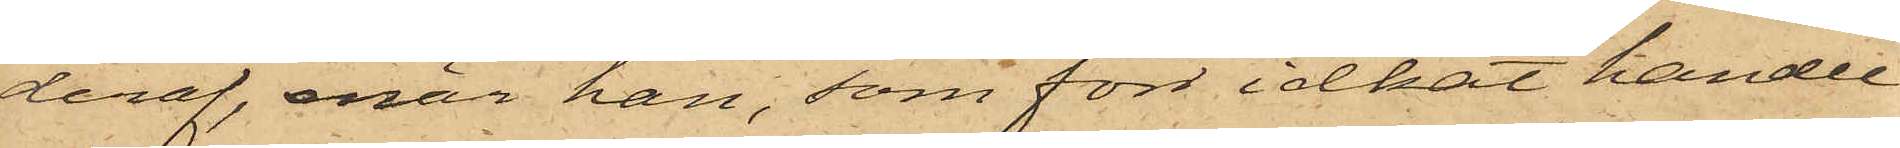deraf, enär han, som förr idkat handel
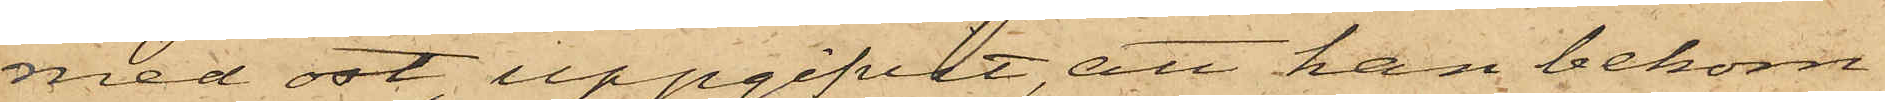med ost, uppgifvit, att han bekom¬
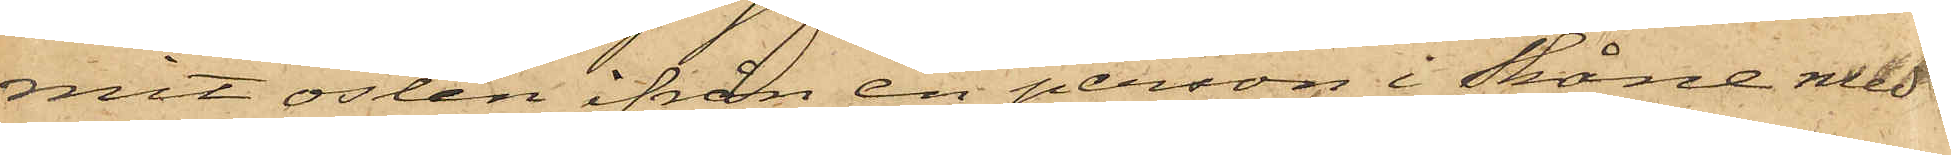mit osten ifrån en person i Skåne med
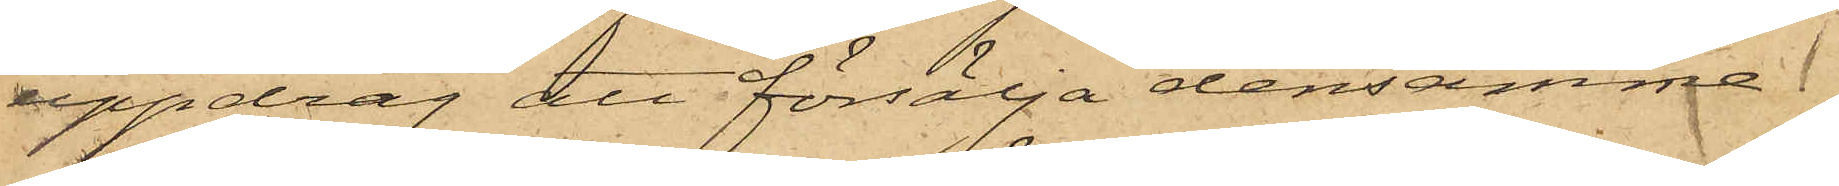uppdrag att försälja densamme.
